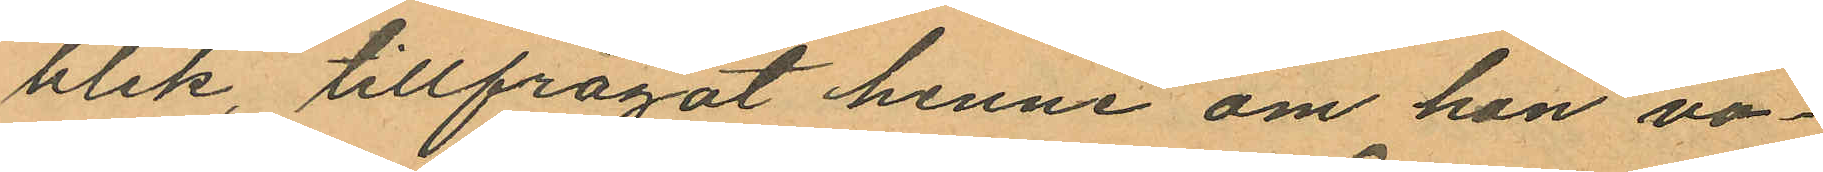blek, tillfrågat henne om hon vo¬
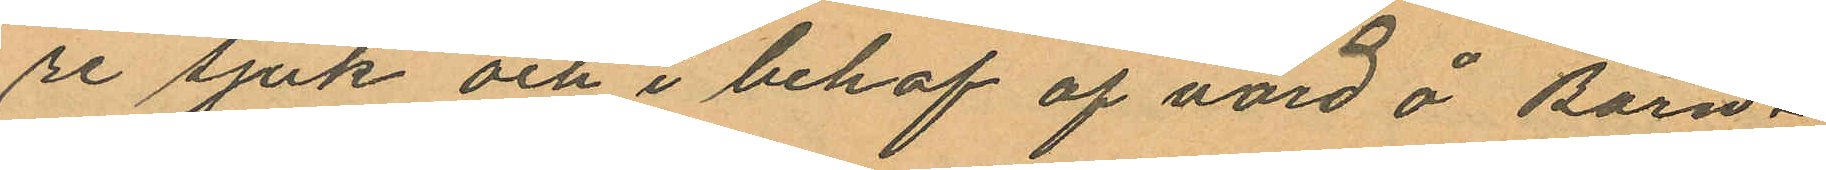re sjuk och i behof af vård å Barn¬
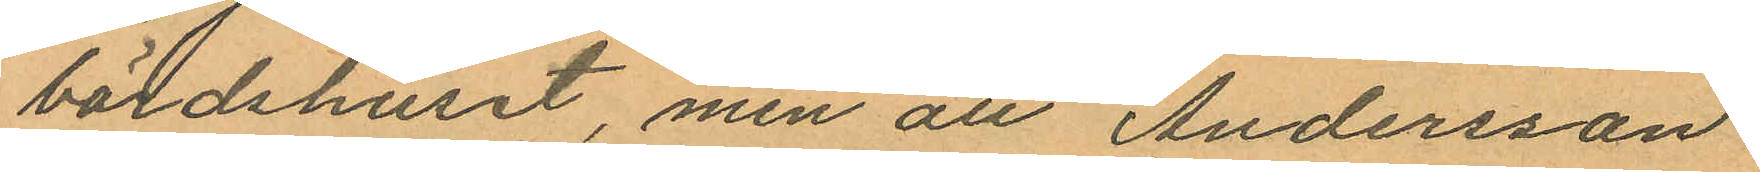bördshuset, men att Andersson
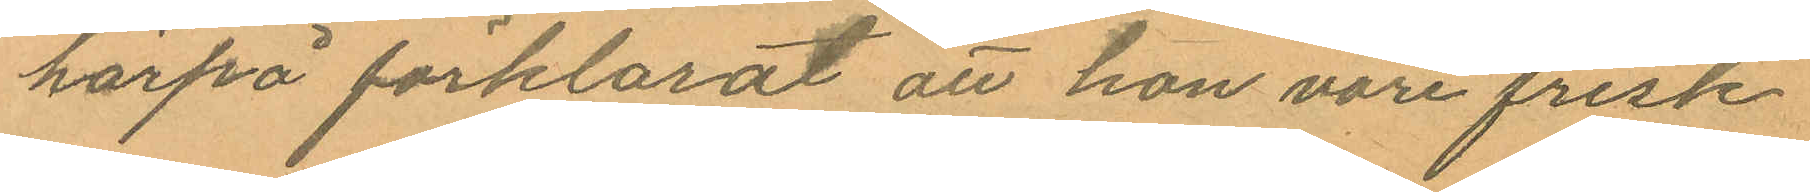härpå förklarat att hon vore frisk
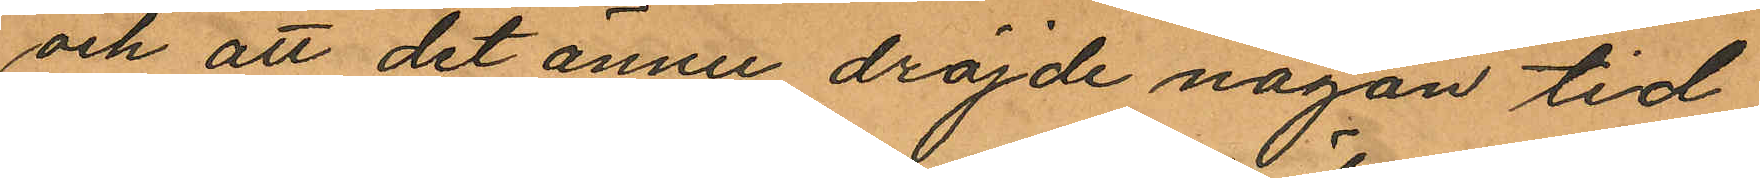och att det ännu dröjde någon tid
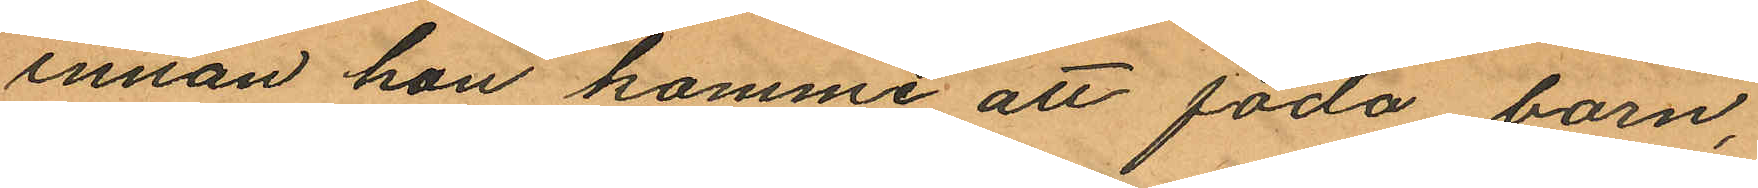innan hon komme att föda barn,
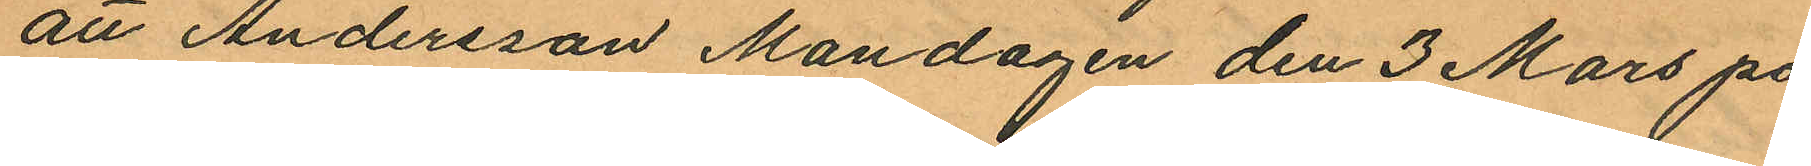att Andersson Mandagen den 3 Mars på
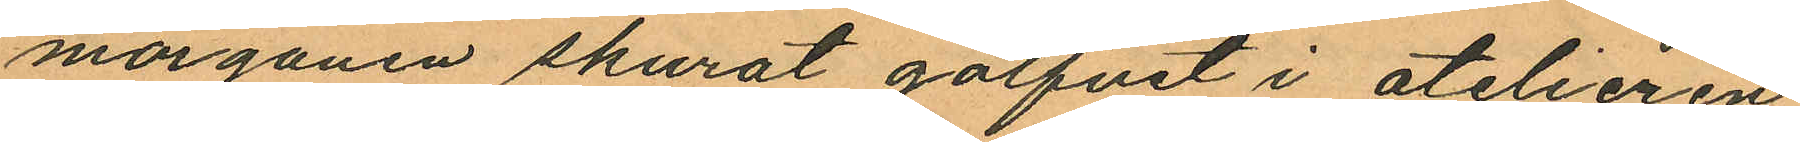morgonen skurat golfvet i atelieren
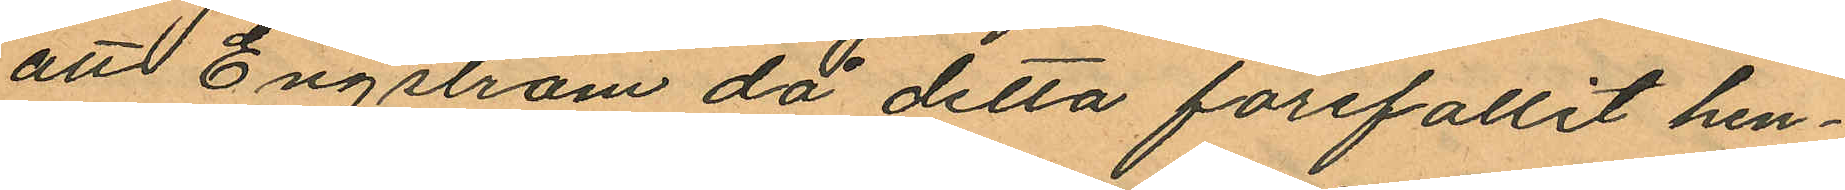att Engström då detta förefallit hen¬
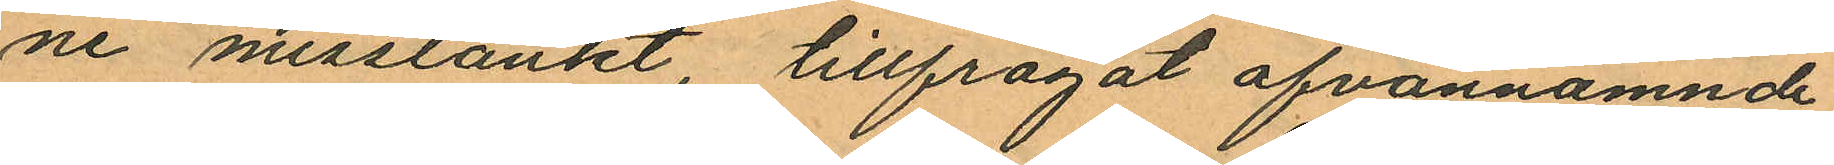ne misstänkt, tillfrågat ofvannämnde
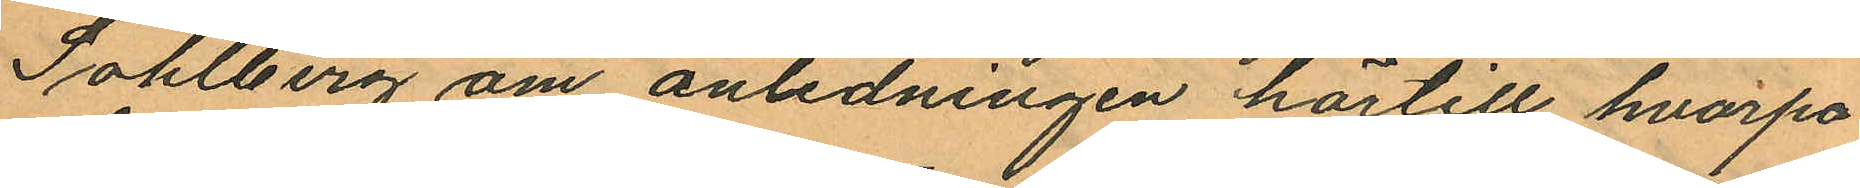Sohlberg om anledningen härtill hvarpå
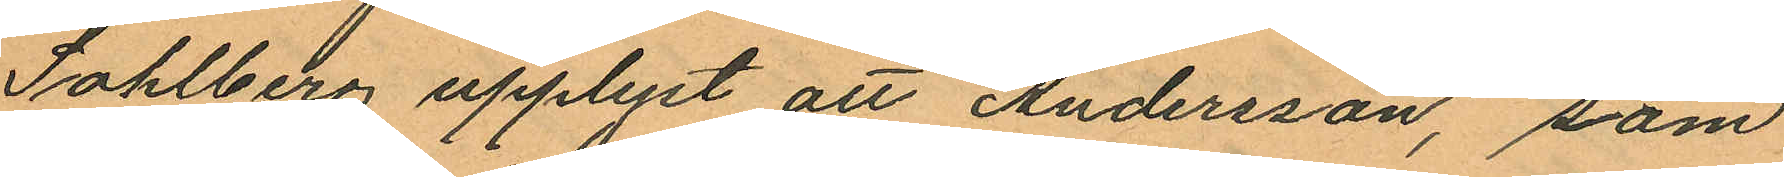Sohlberg upplyst att Andersson, som
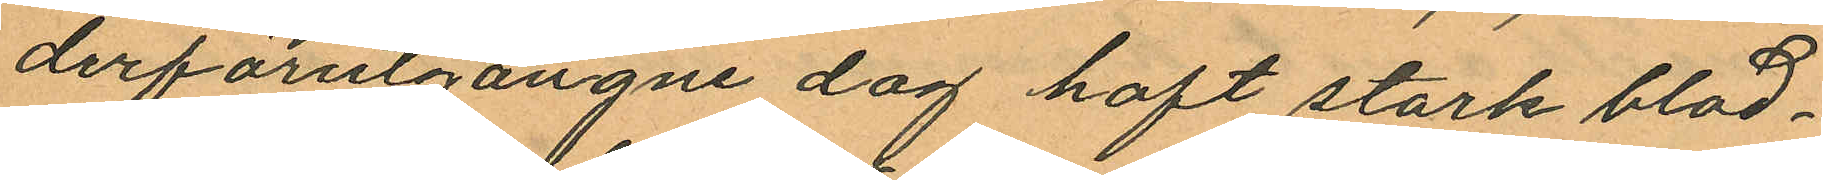derförutgångne dag haft stark blod¬
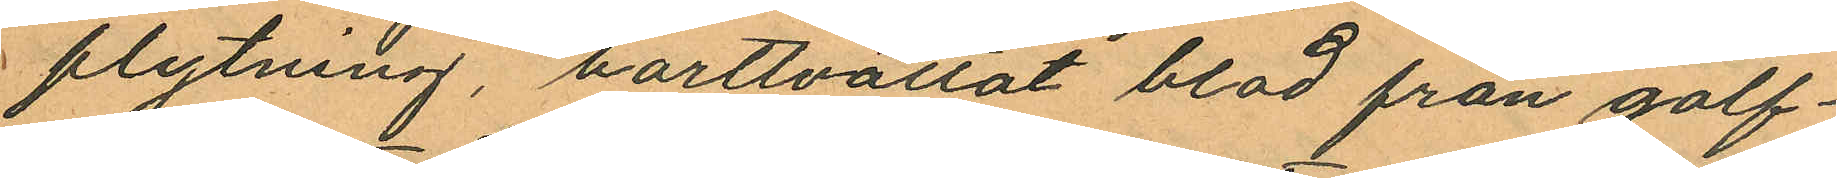flytning, borttvättat blod från golf¬
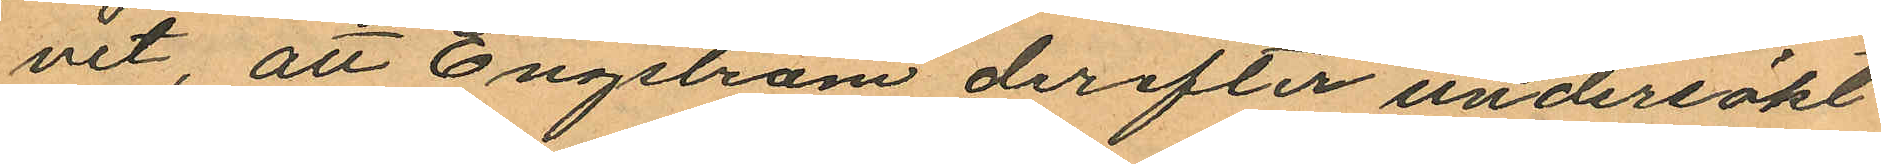vet, att Engström derefter undersökt
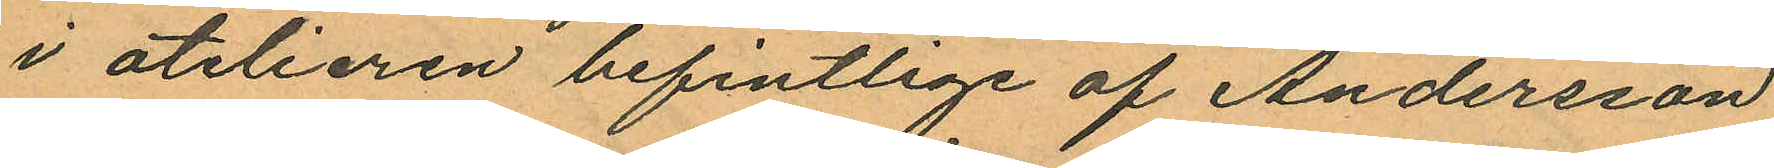i atelieren befintlige af Andersson
